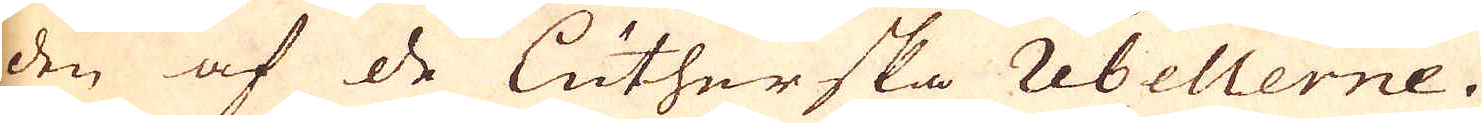den af de Lutherska rebellerne.
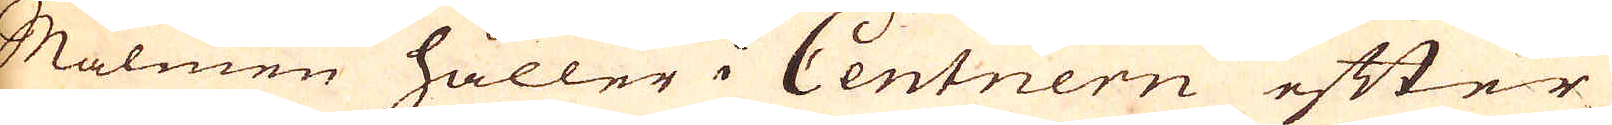Malmen håller i Centnern efter
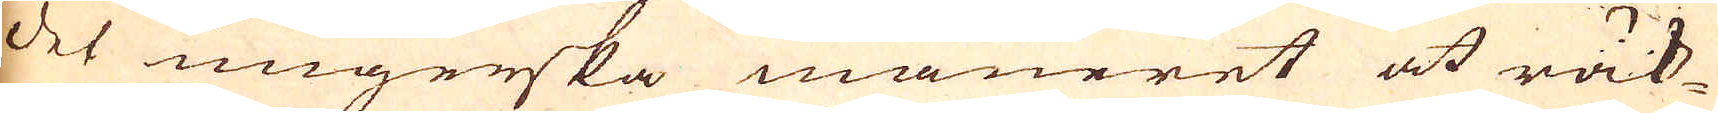det ungerska maneret at räk-
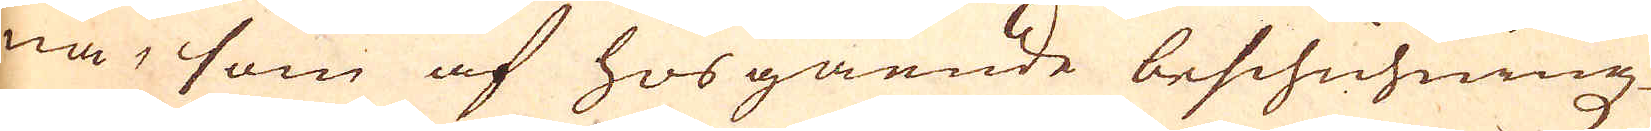na, som af hosgående beschichningz
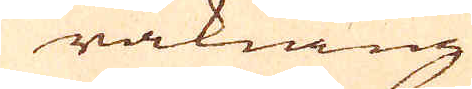räkning
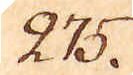275.
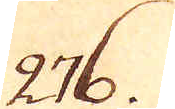276.
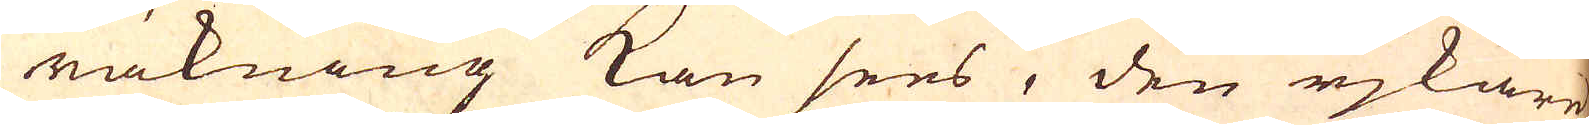räkning kan sees, den rjkare
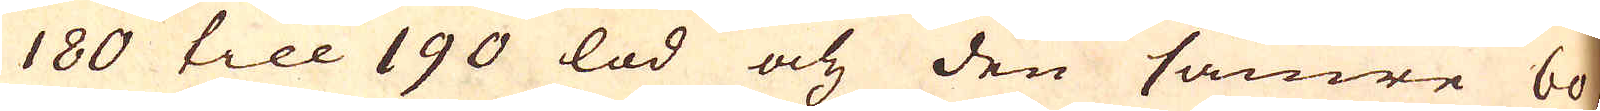180 till 190 lod och den sämre 60,
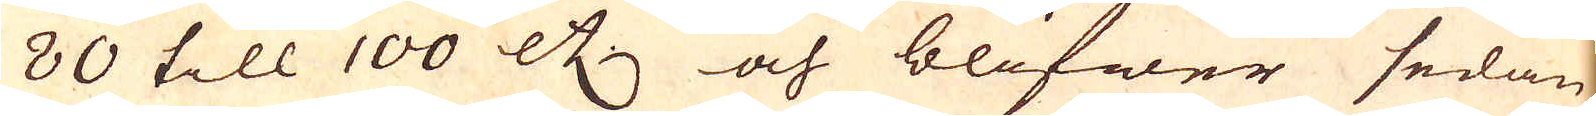80 till 100 etc. och blifwer sedan
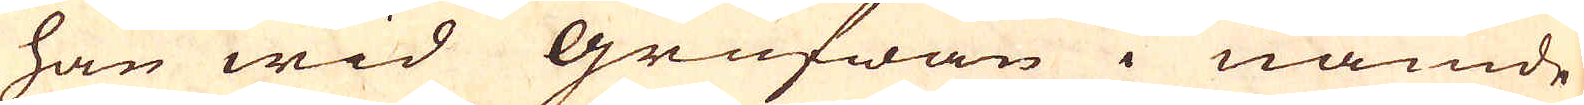han wid Grufwan i nämde
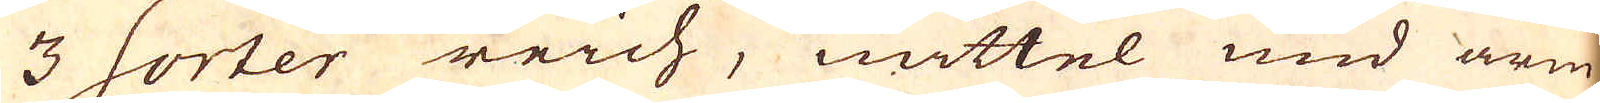3 sorter reich, mittel und arm
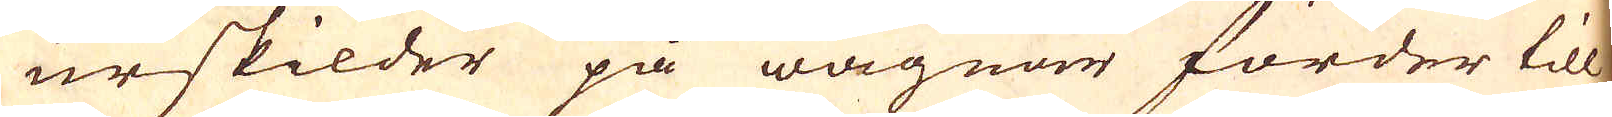urskilder på wagnar forder till
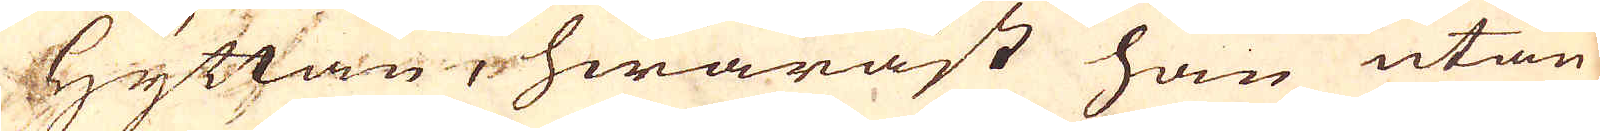Hyttan, hwaräst han utan
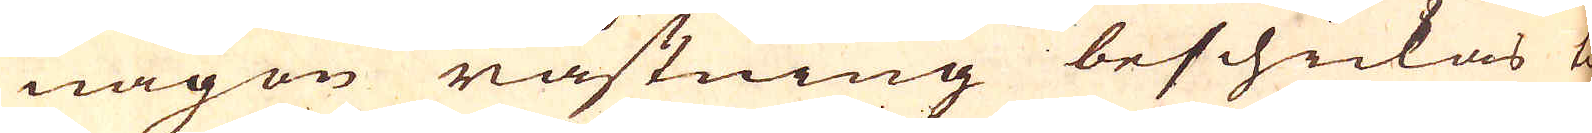någon råstning beschickas til
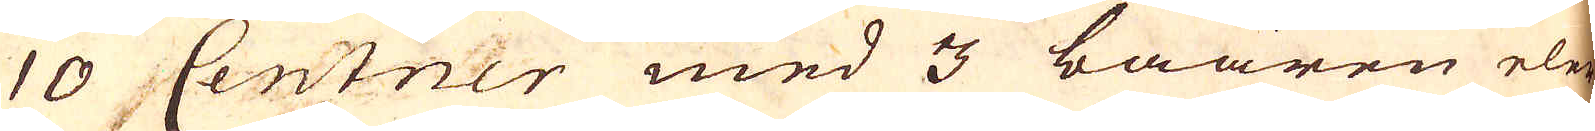10 Centner med 3 baaren eler
